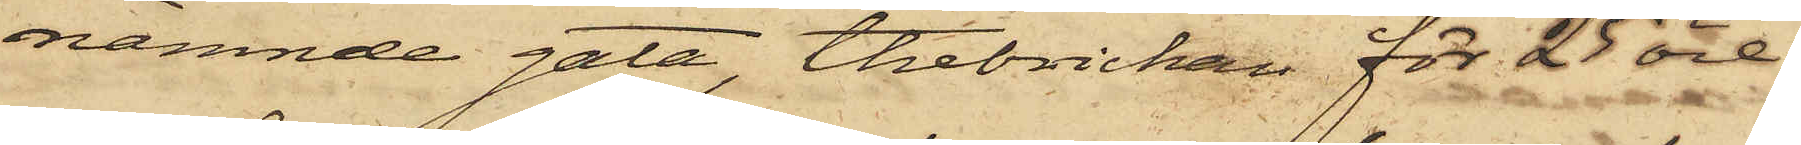nämnde gata, thebrickan för 25 öre
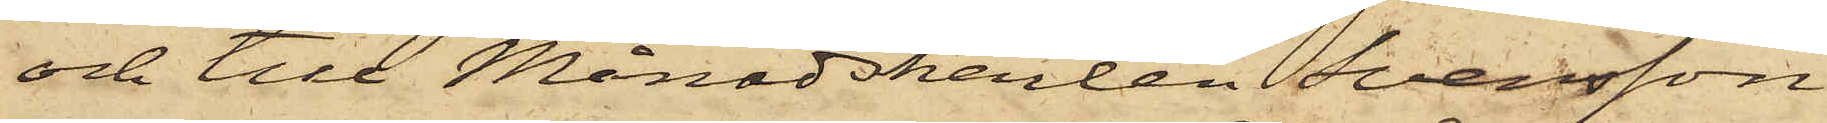och till Månadskarlen Svensson
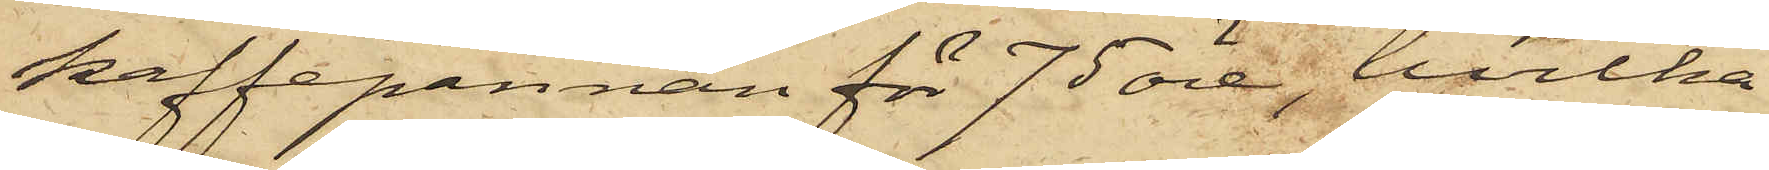kaffepannan för 75 öre, hvilka
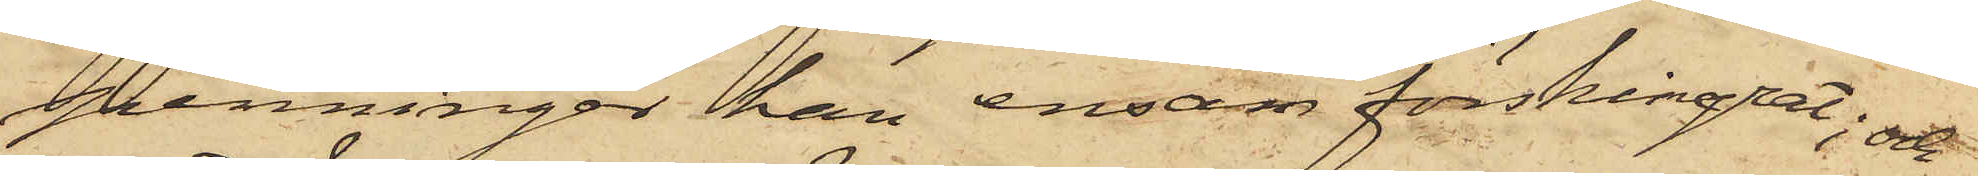penningar han ensam förskingrat; och
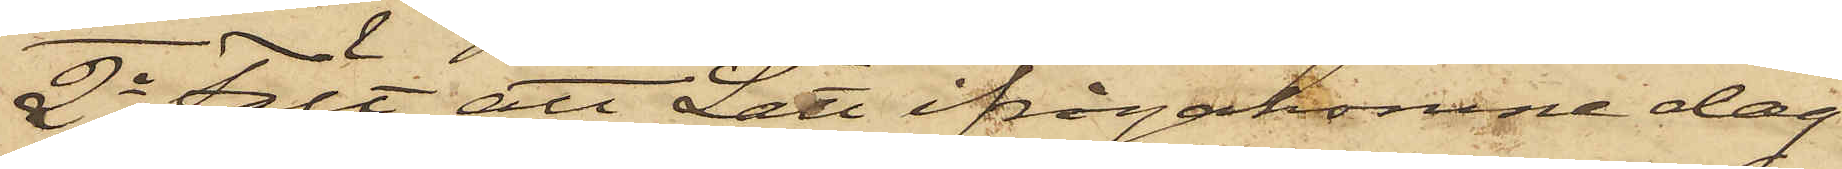2o Fält att Lätt ifrågakomne dag
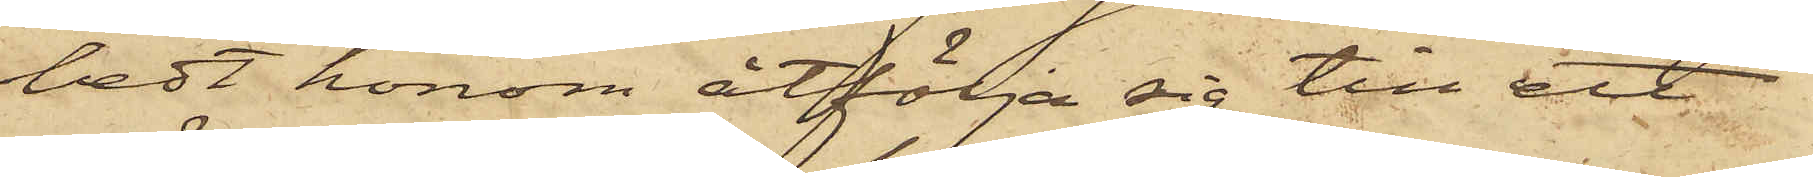bedt honom åtfölja sig till ett
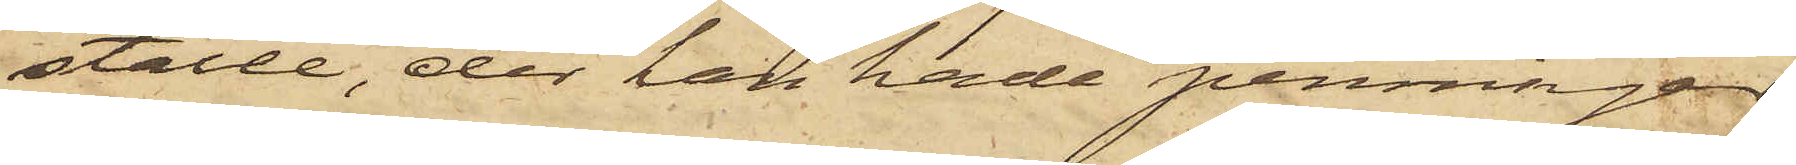ställe, der han hade penningar
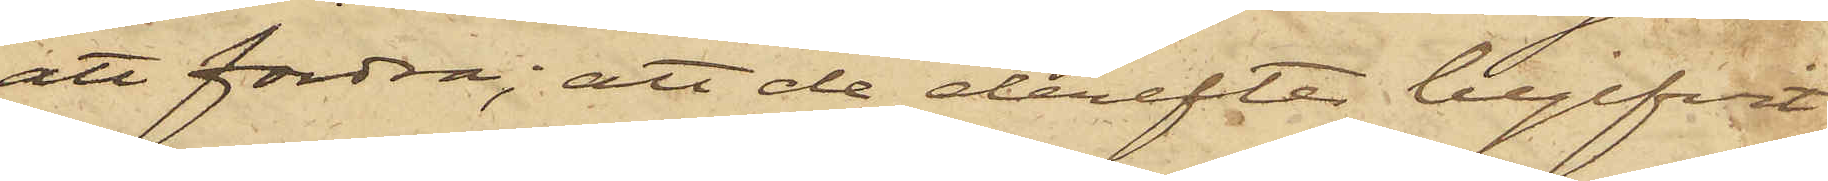att fordra; att de derefter begifvit
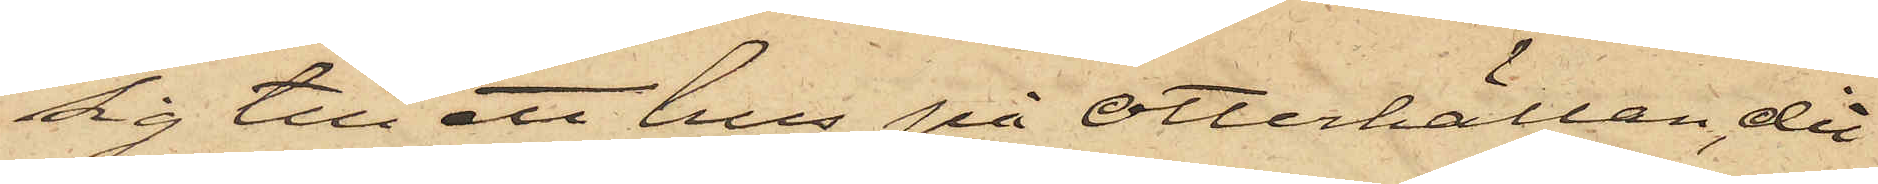sig till ett hus på Otterhällan, dit
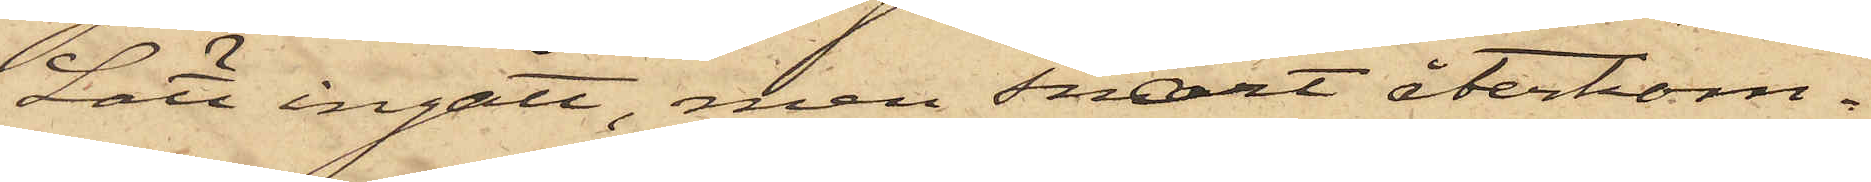Lätt ingått, men snart återkom¬
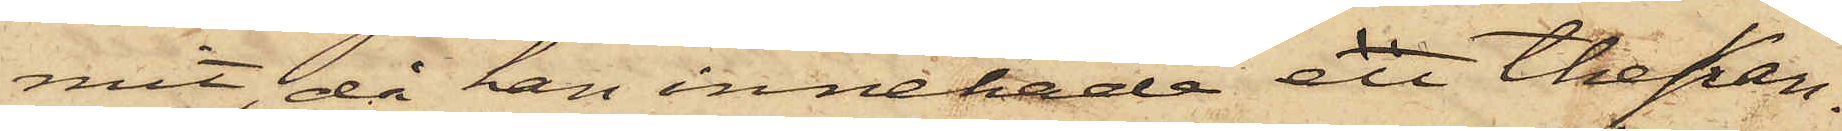mit, då han innehade en thekan¬
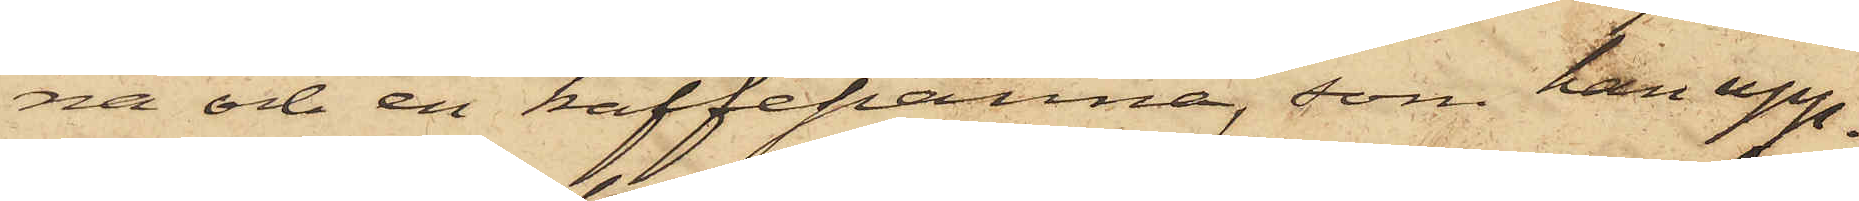na och en kaffepanna, som han upp¬
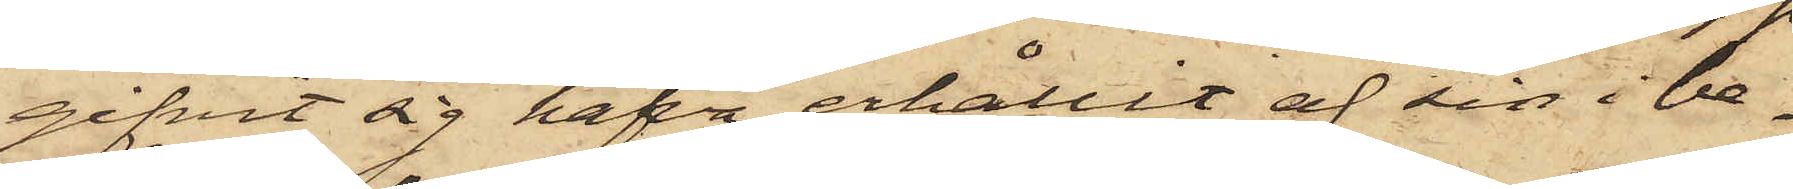gifvit sig hafva erhållit af sin i be¬
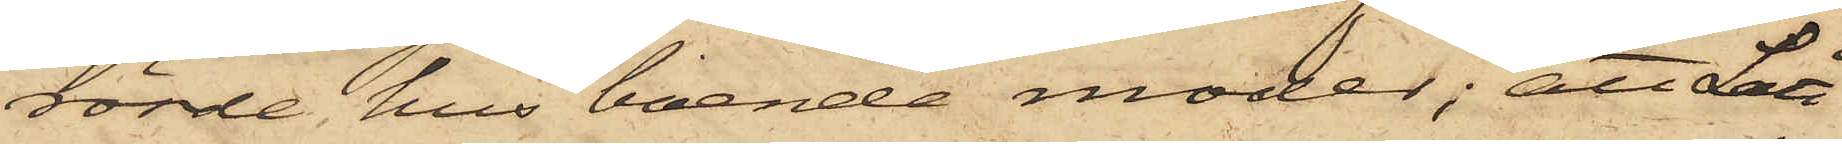rörde hus boende moder; att Lätt
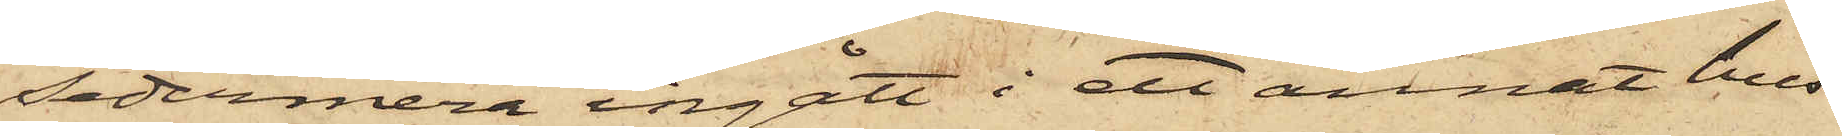sedermera ingått i ett annat hus
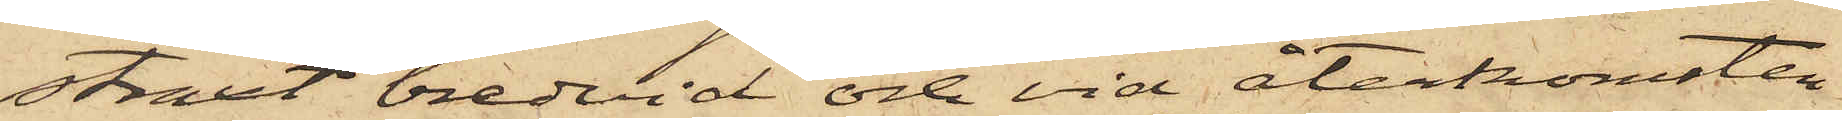straxt bredvid och vid återkomsten
